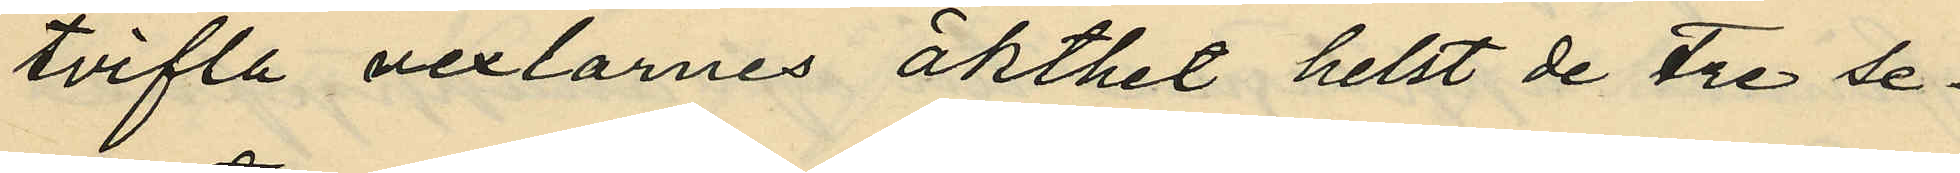tvifla vexlarnes äkthet helst de tre se¬
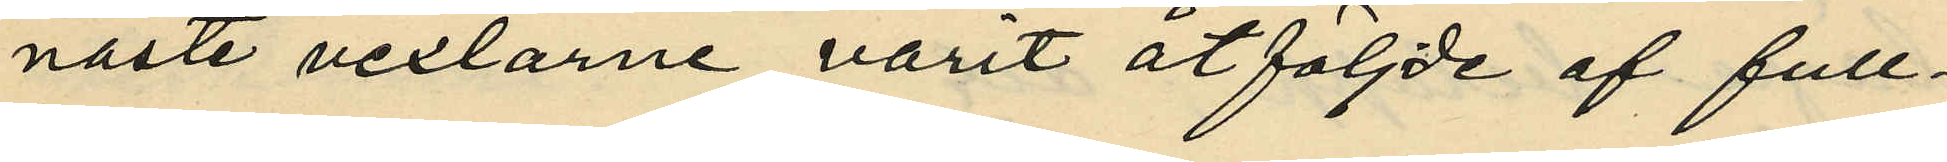naste vexlarne varit åtföljde af full¬
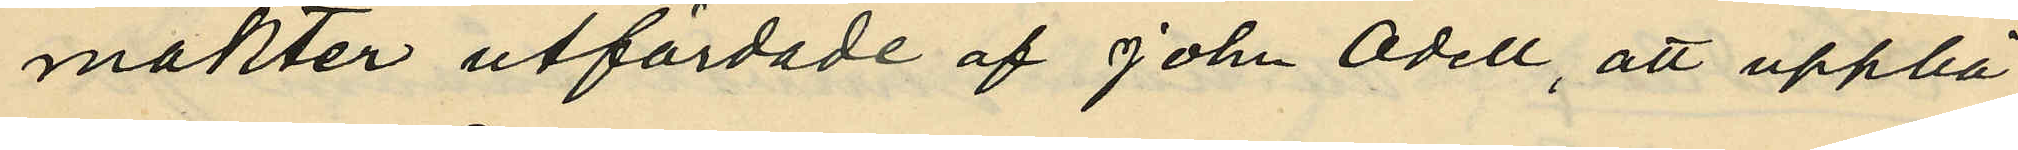makter utfärdade af John Odell, att uppbä¬
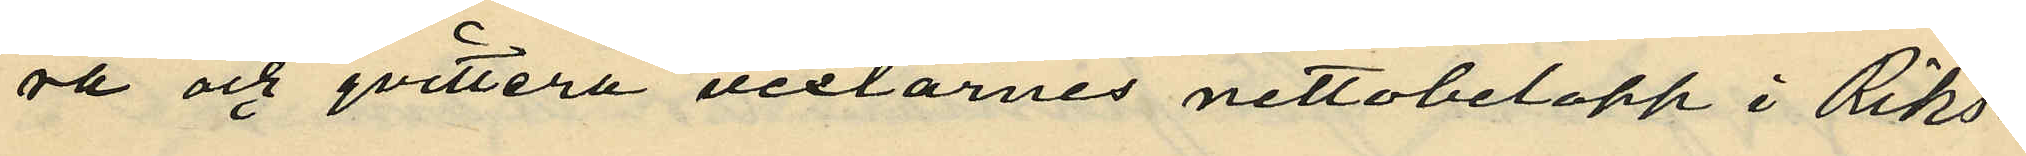ra och qvittera vexlarnes nettobelopp i Riks¬
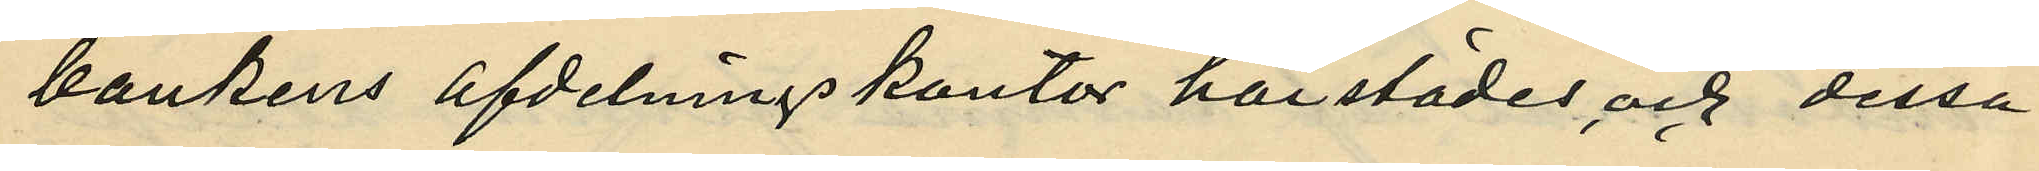bankens afdelningskontor härstädes och dessa
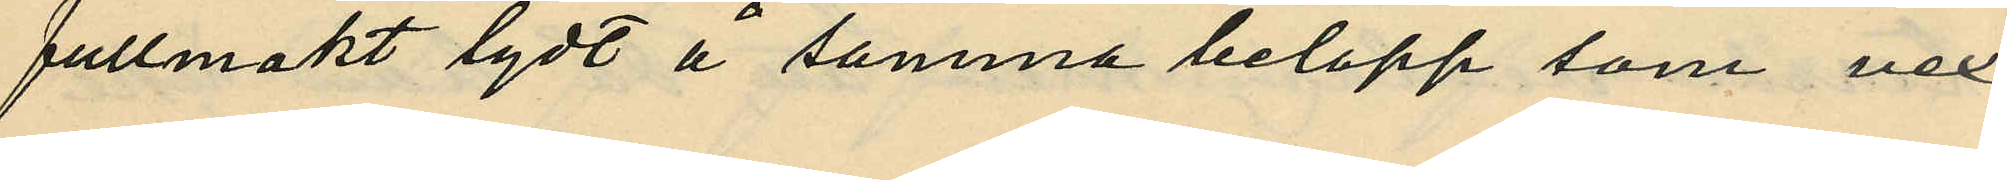fullmakt lydt å samma belopp som vex¬
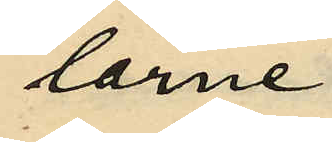larne.
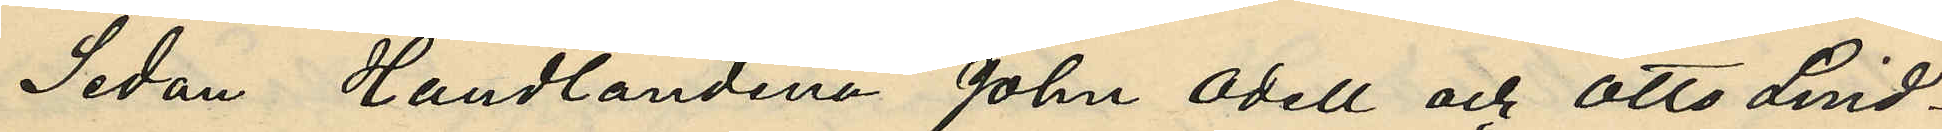Sedan Handlandena John Odell och Otto Lind¬
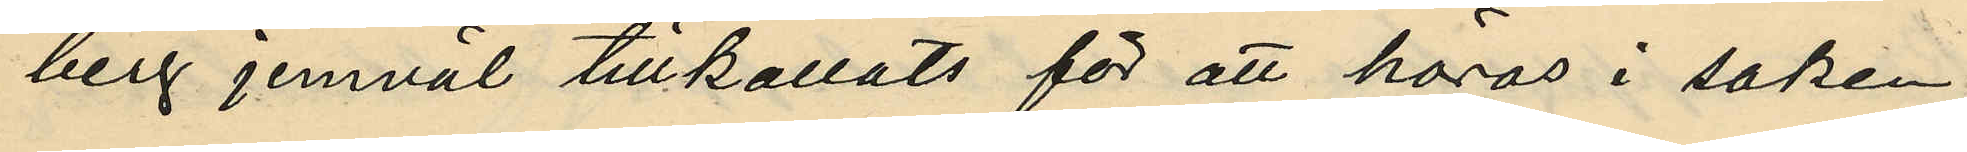berg jemväl tillkallats för att höras i saken
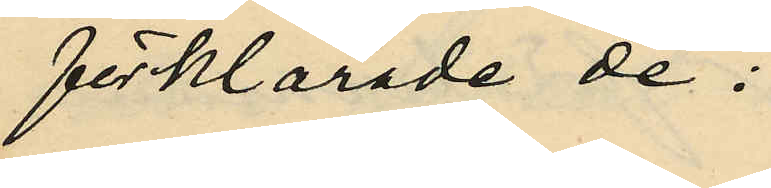förklarade de:
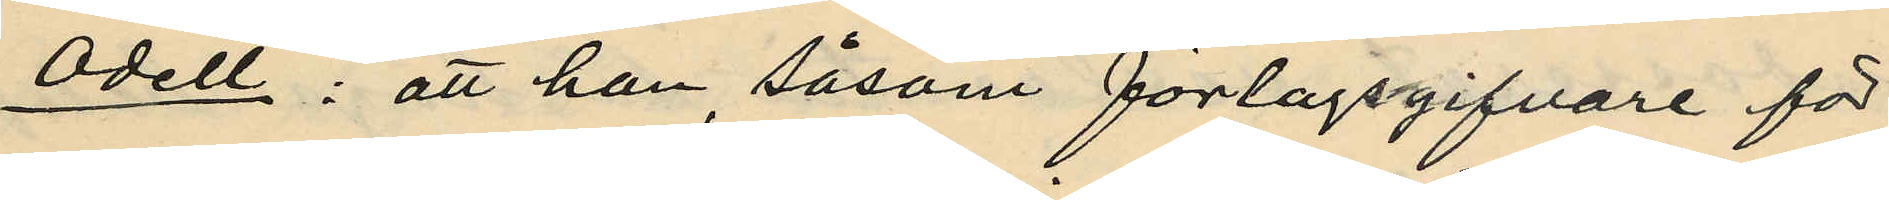Odell: att han, såsom förlagsgifvare för
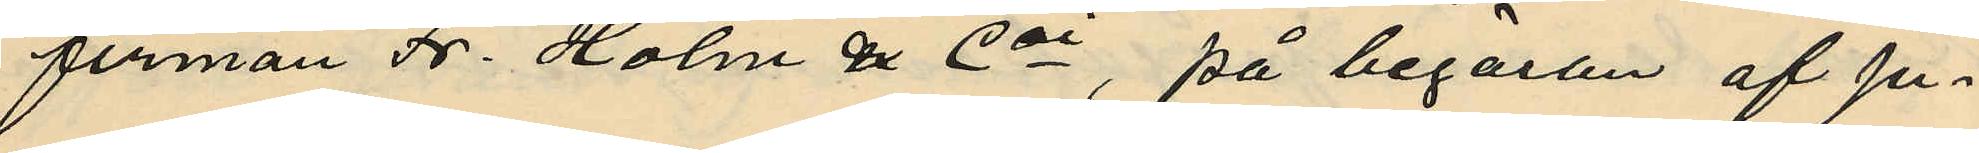firman Fr. Holm & Co, på begäran af ju¬
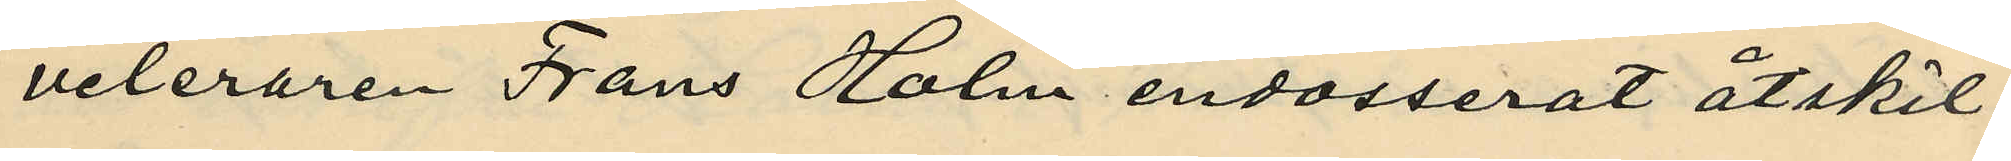veleraren Frans Holm endosserat åtskil¬
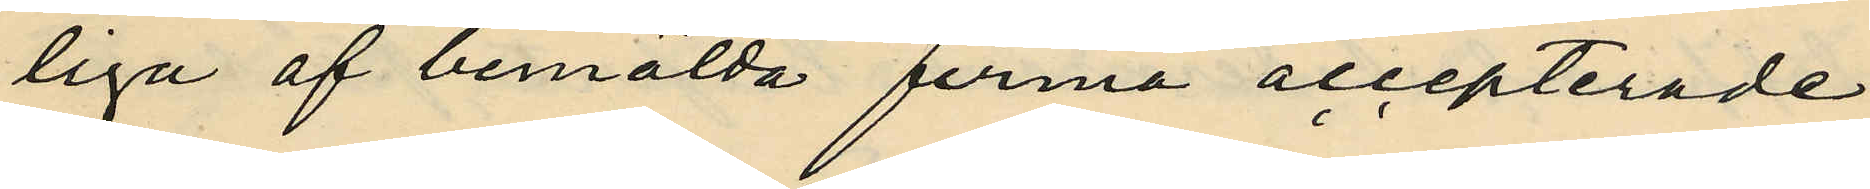liga af bemälda firma accepterade
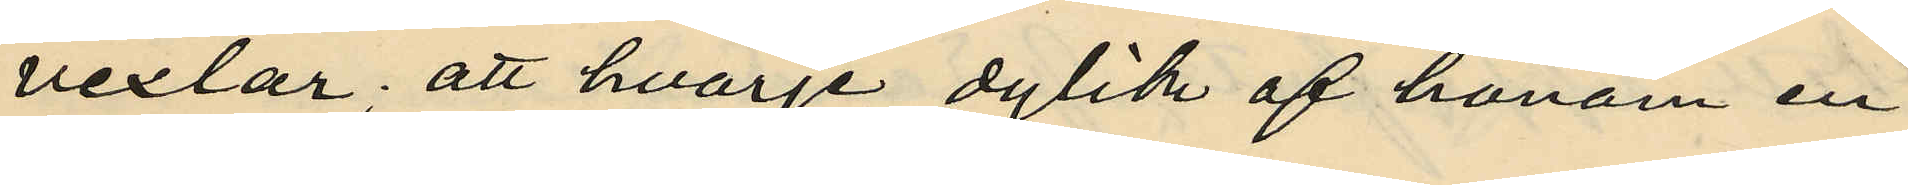vexlar; att hvarje dylik af honom en¬
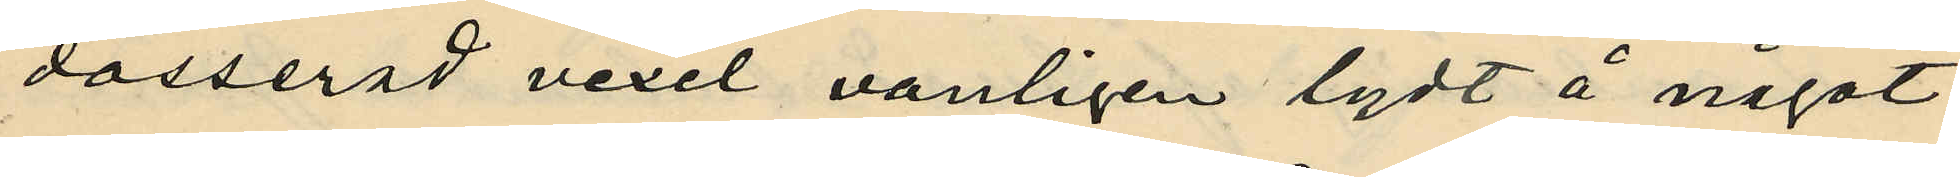dosserad vexel vanligen lydt å något
